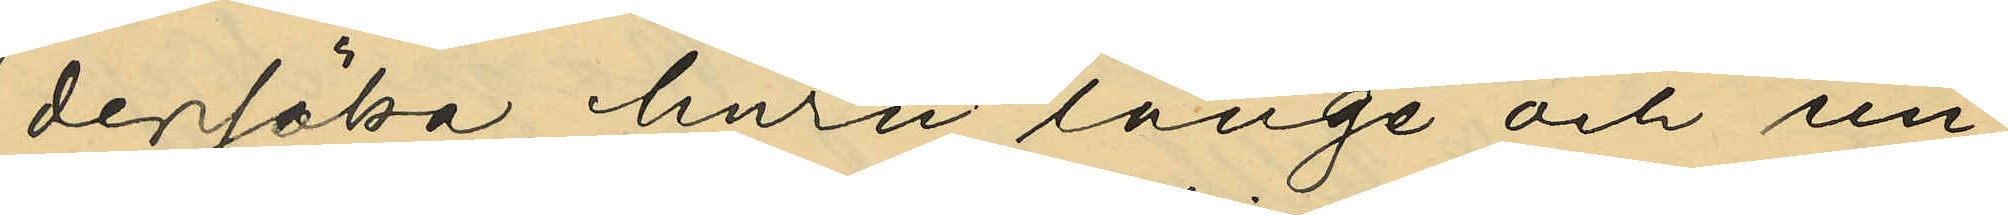dersöka, huru länge och un¬
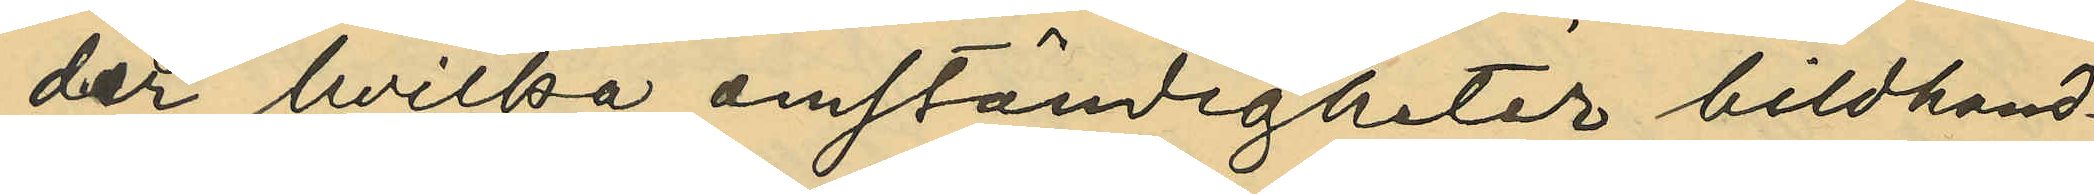der hvilka omständigheter bildhand¬
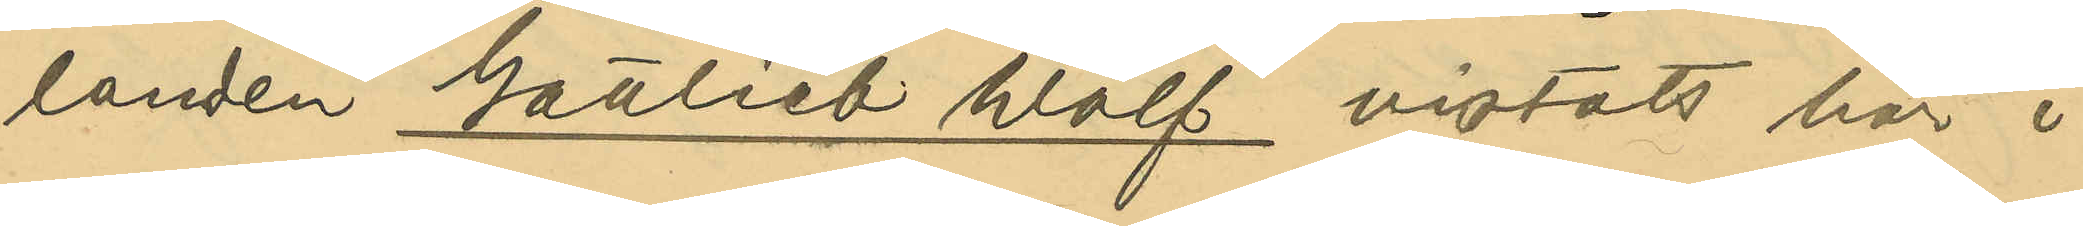landen Gottlieb Wolf vistats här i
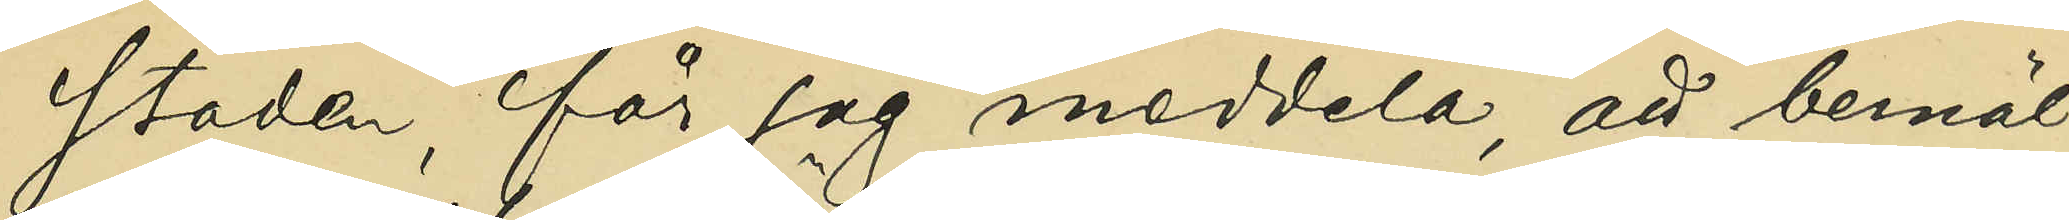staden, får jag meddela, att bemäl¬
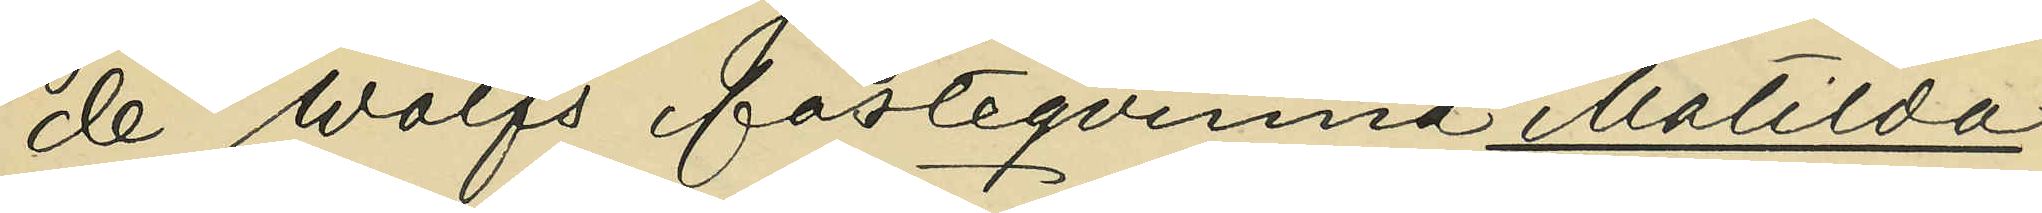de Wolfs fästeqvinna Matilda
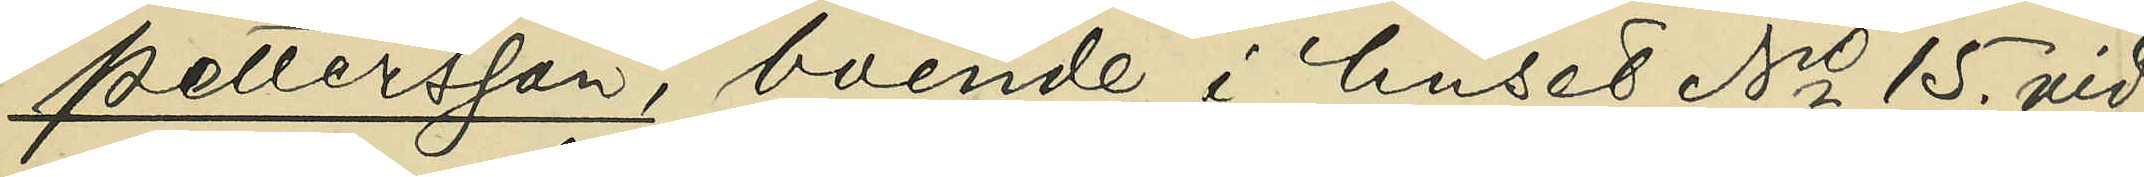Pettersson, boende i huset No 15. vid
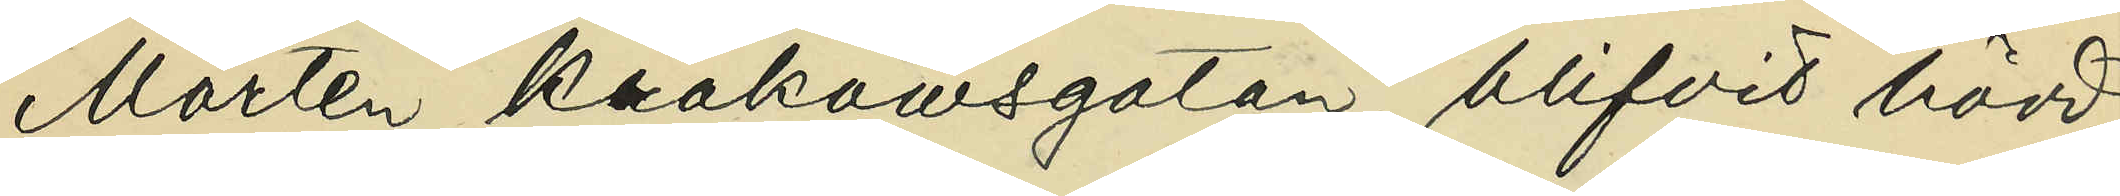Måretn Krakowsgatan, blifvit hörd,
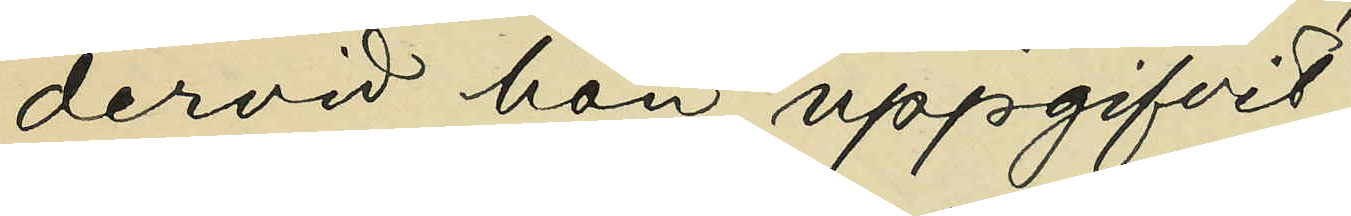dervid hon uppgifvit:
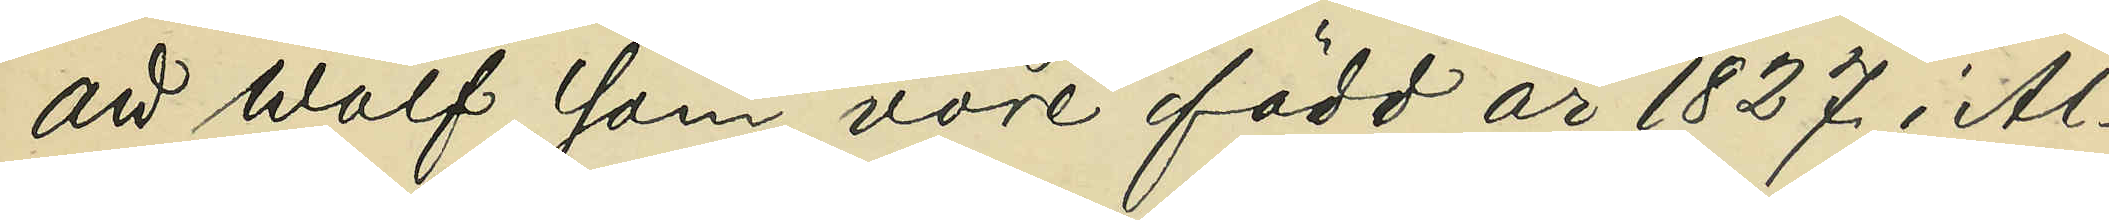att Wolf, som vore född år 1827. i Al¬
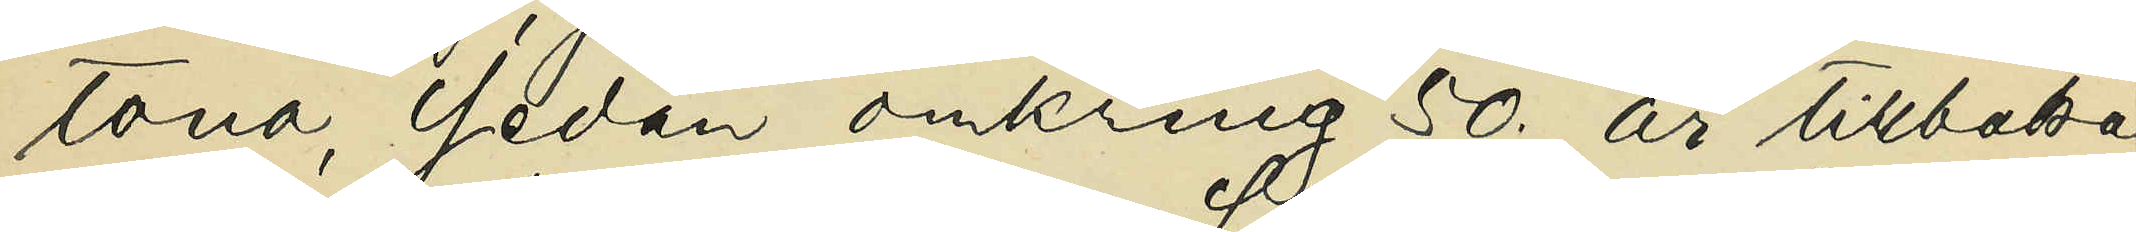tona, sedan omkring 50. år tillbaka
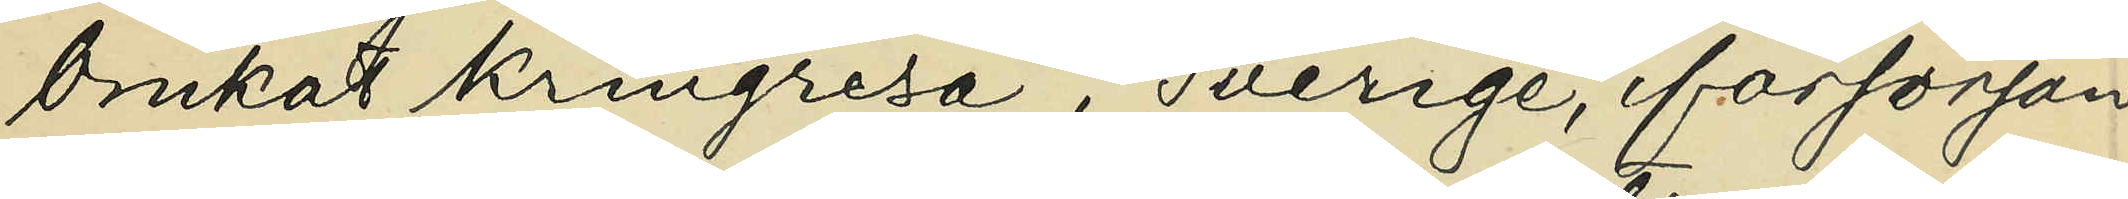brukat kringresa i Sverige, försörjan
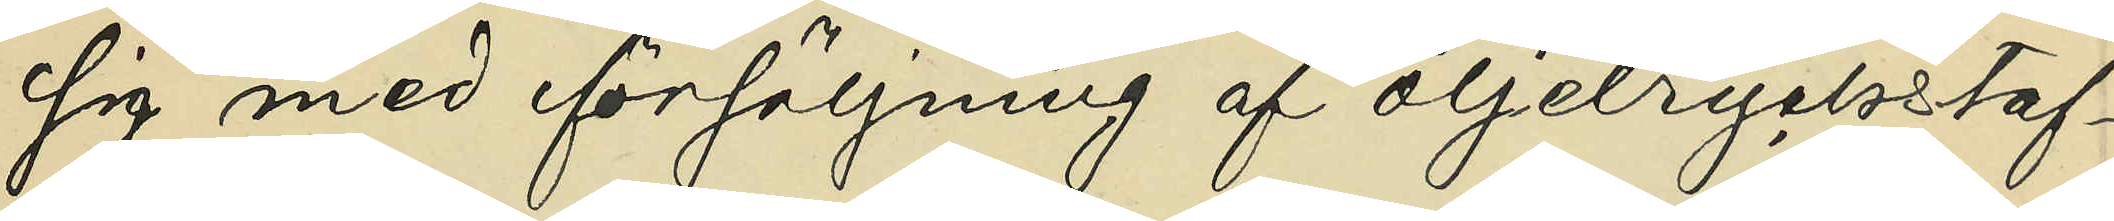sig med försäljning af oljetryckstaf¬
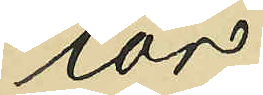lor;
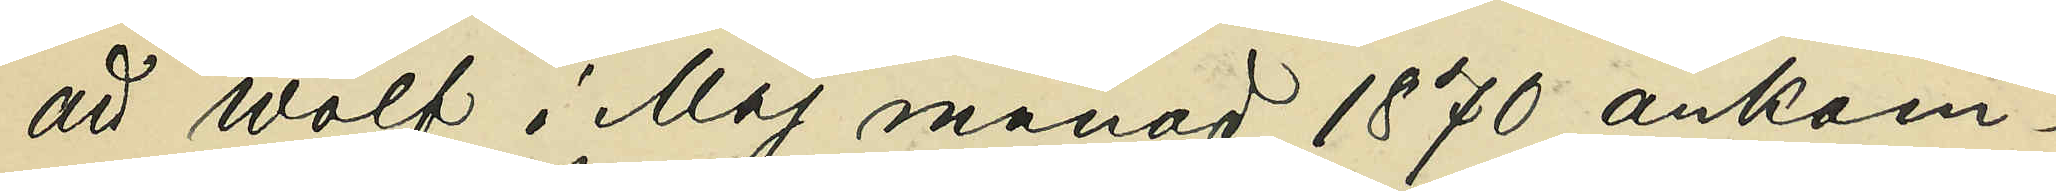att Wolf i Maj månad 1870 ankom¬
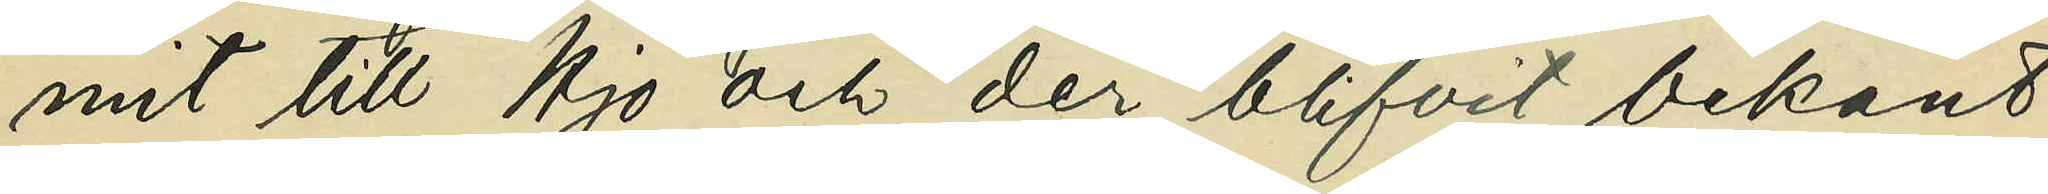mit till Hjo och der blifvit bekant
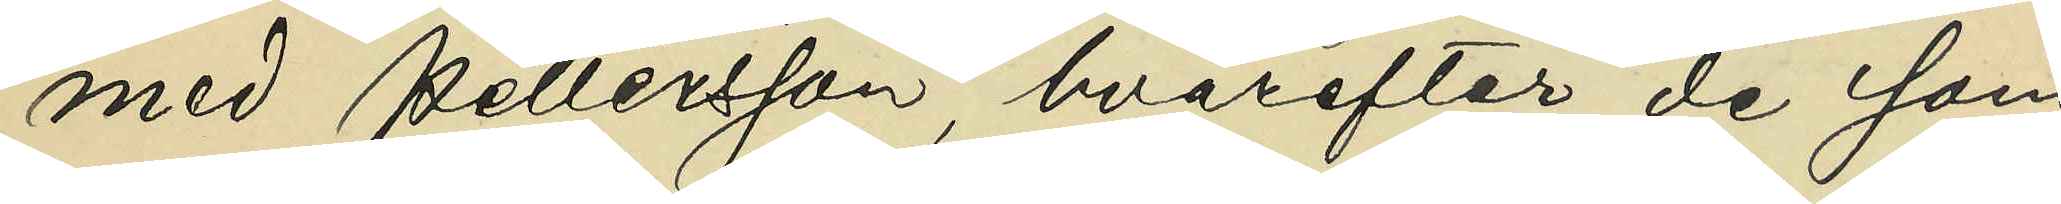med Pettersson, hvarefter de sam¬
